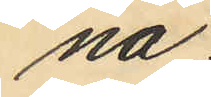na.
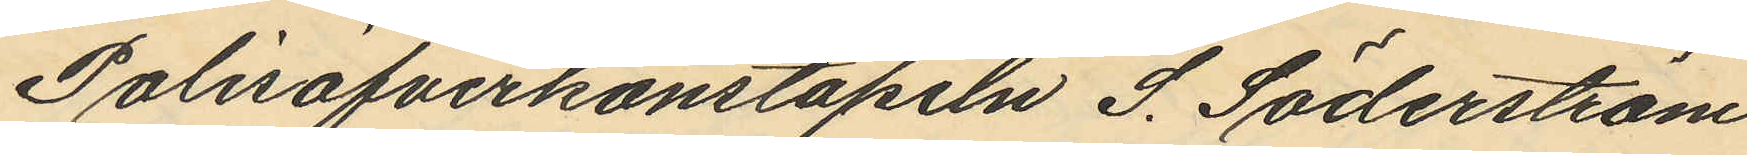Polisöfverkonstapeln J. Söderström
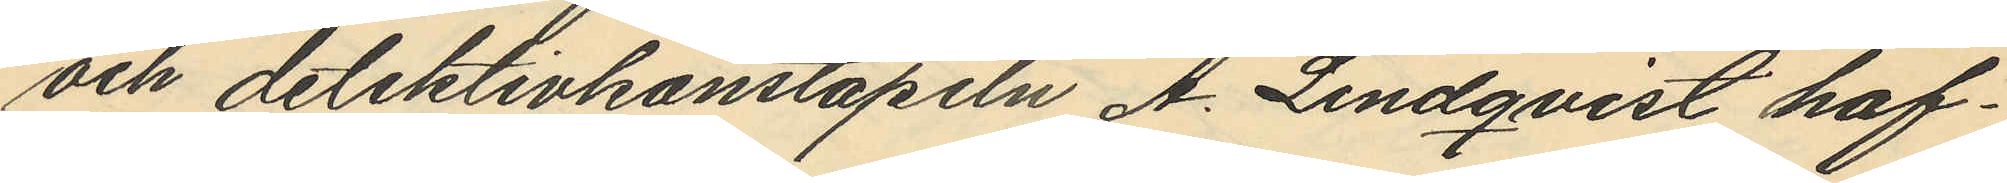och detektivkonstapeln A. Lindqvist haf¬
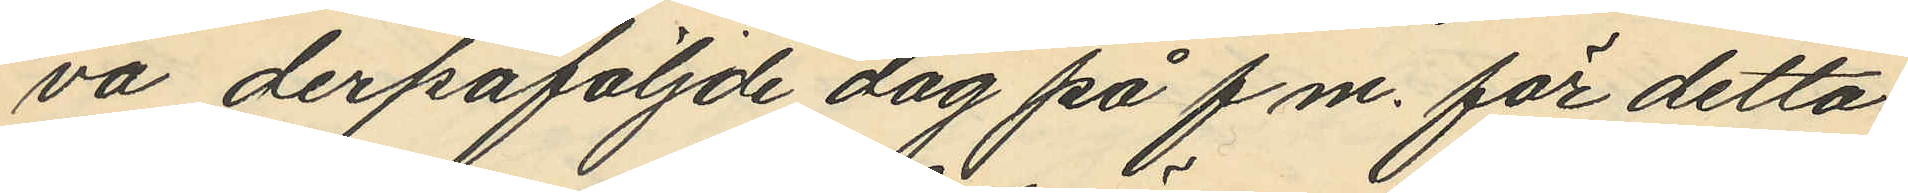va derpåföljde dag på f.m. för detta
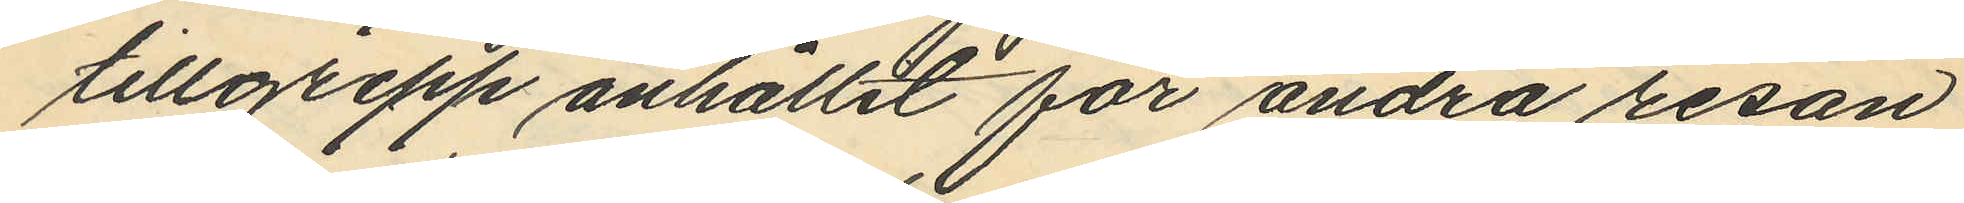tillgrepp anhållit för andra resan
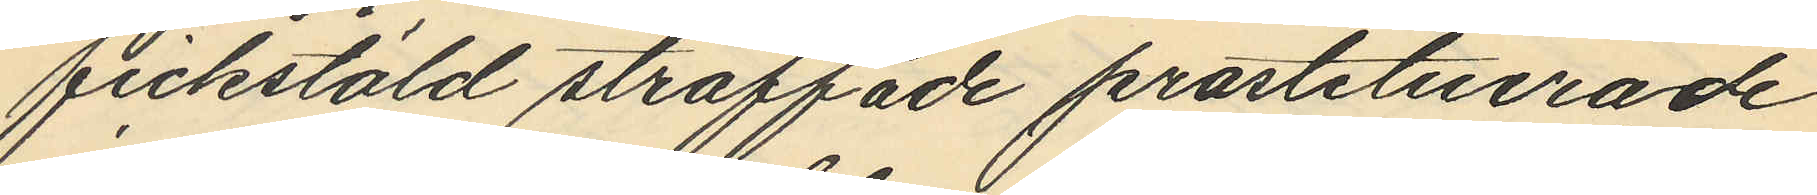fickstöld straffade prostituerade
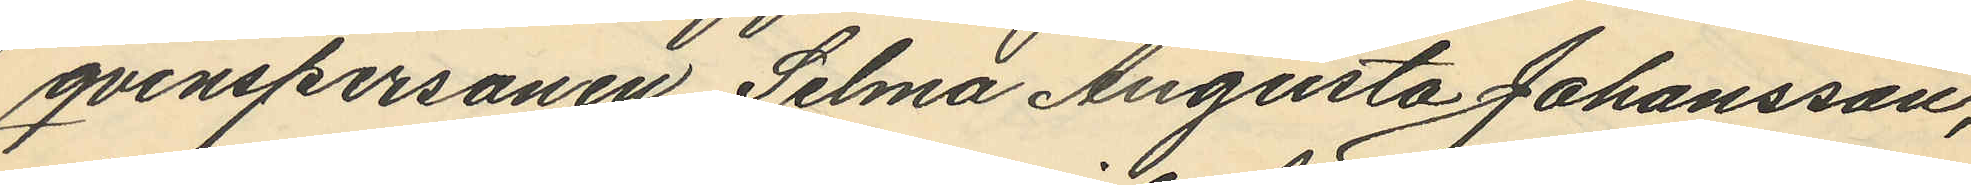qvinspersonen Selma Augusta Johansson,
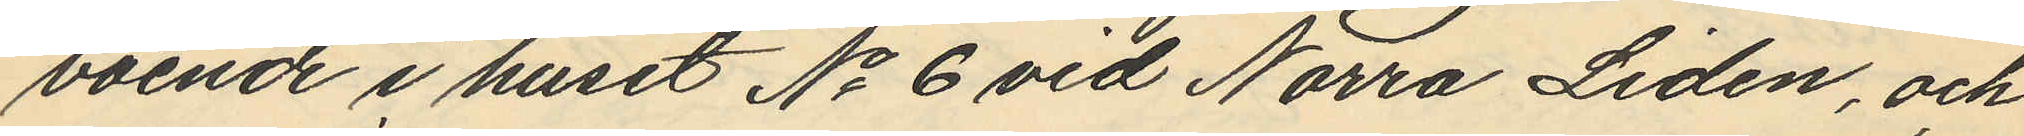boende i huset No 6 vid Norra Lidén, och
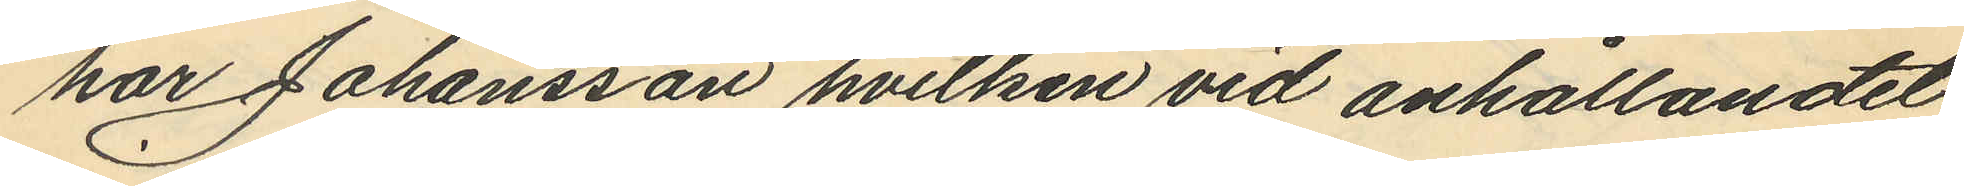har Johansson hvilken vid anhållandet
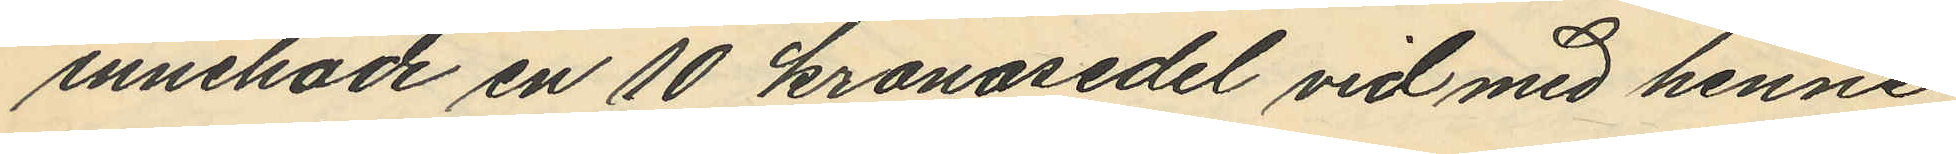innehade en 10 kronosedel vid med henne
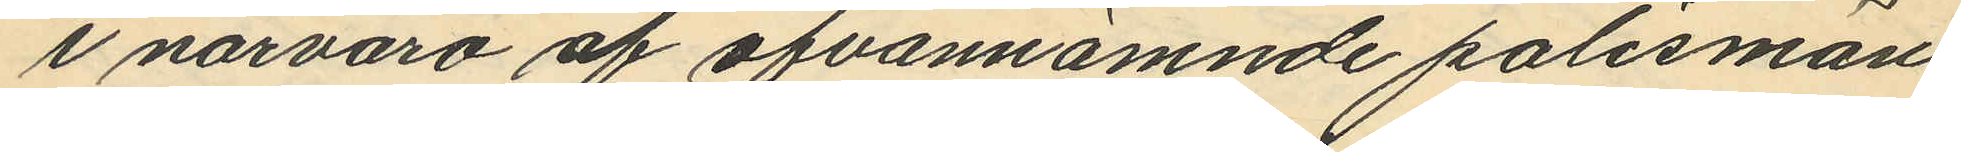i närvaro af ofvannämnde polismän
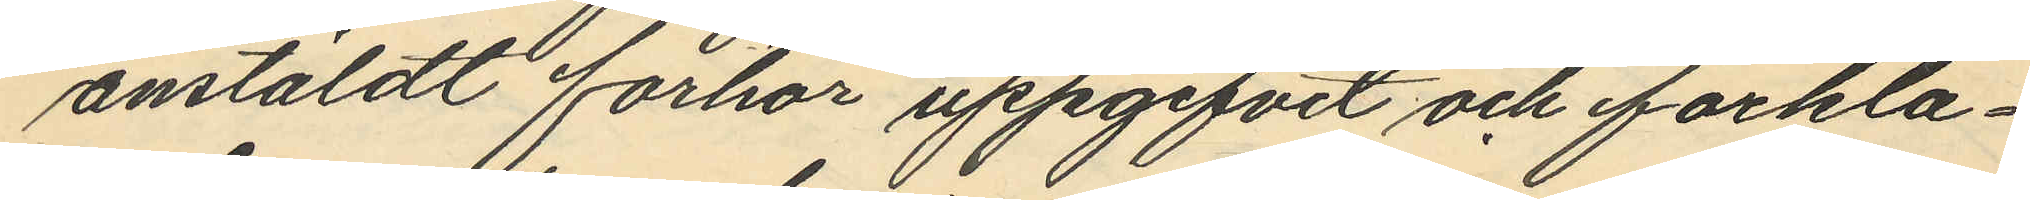anstäldt förhör uppgifvit och förkla¬
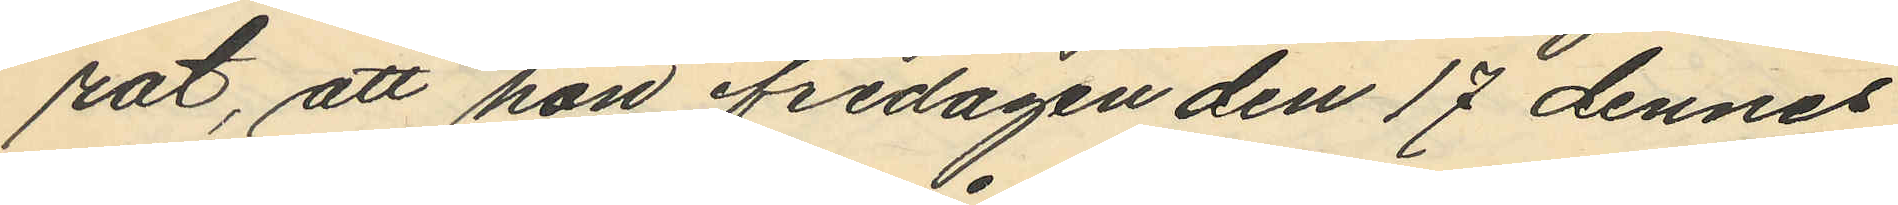rat, att hon ifredagen den 17 dennes
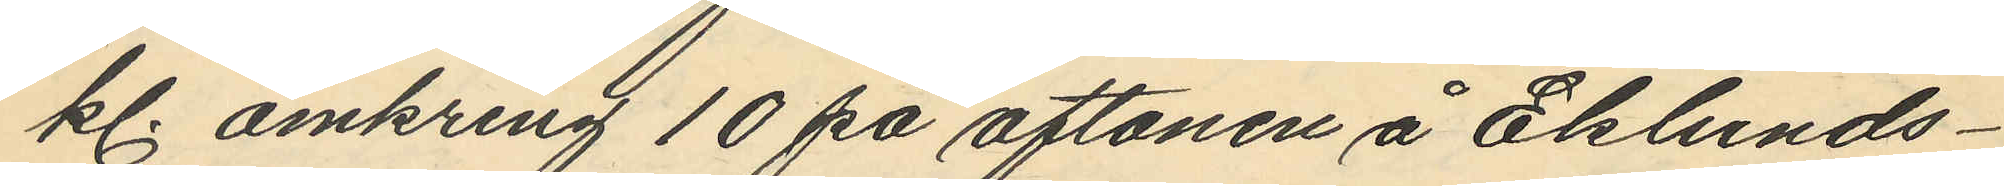kl. omkring 10 på aftonen å Eklunds¬
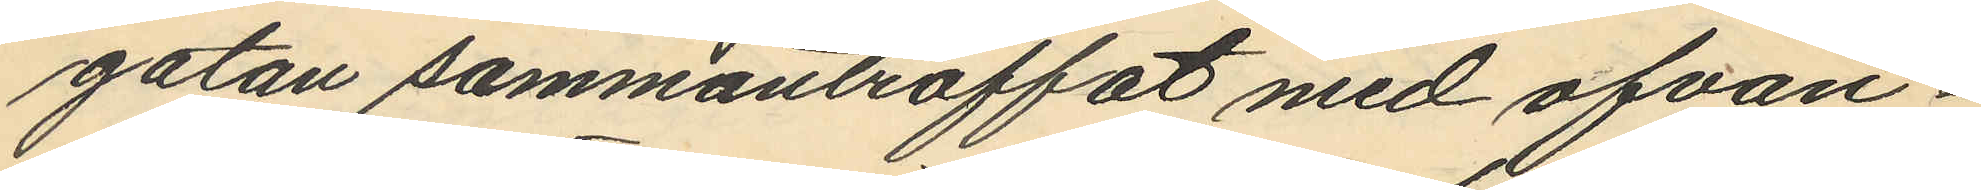gatan sammanträffat med ofvan¬
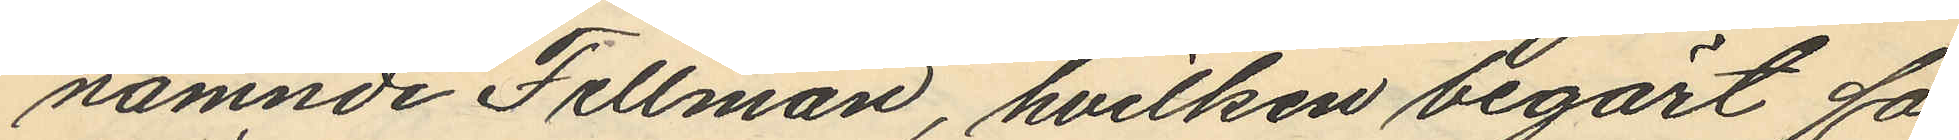nämnde Fellman, hvilken begärt få¬
